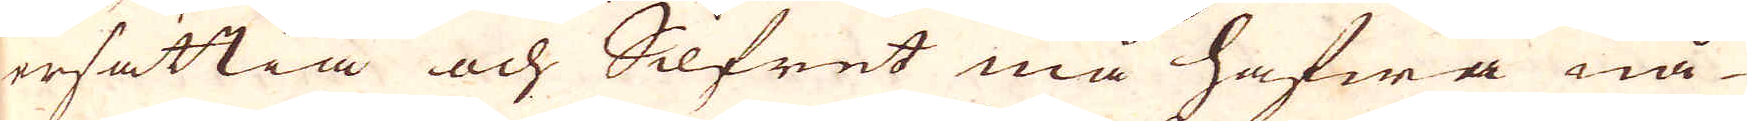ersättia och Silfret må hafwa nå-
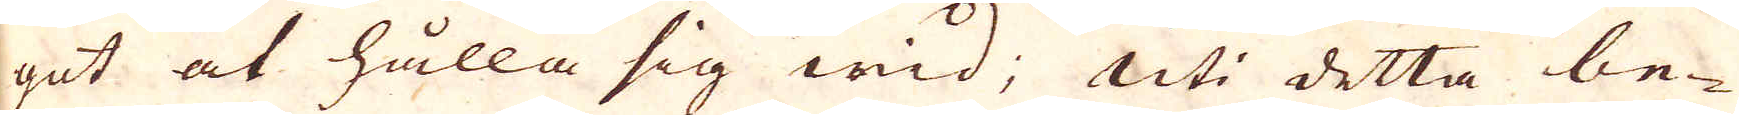got at hålla sig wid; Uti detta be-
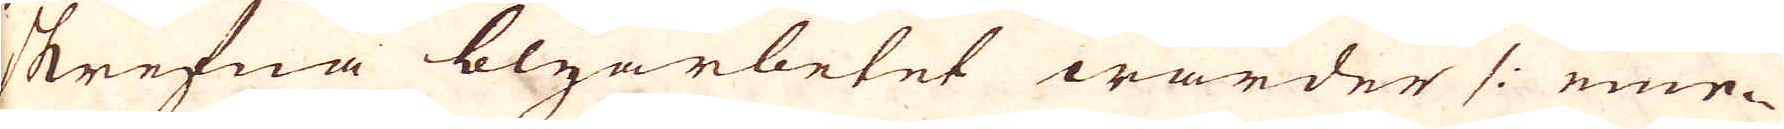skrefna blyarbetet warder /: eme-
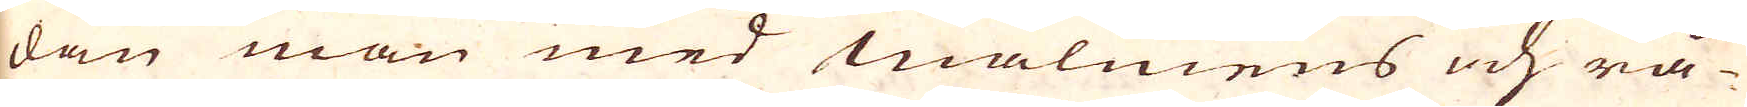dan man med malmens och rå-
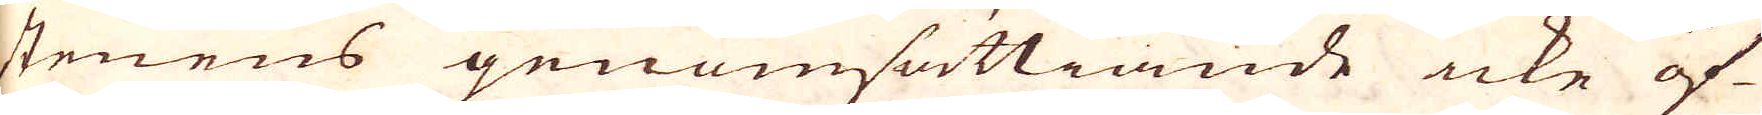stenens genomsättiande icke öf-
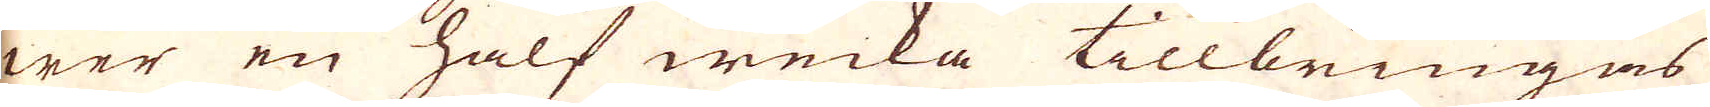wer en half wecka tillbringas
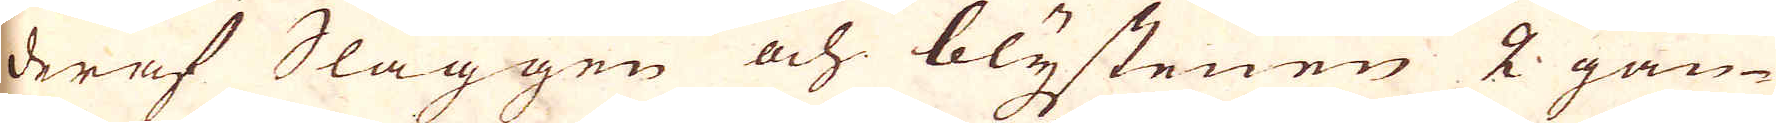deraf Slaggen och blystenen 2 gån-
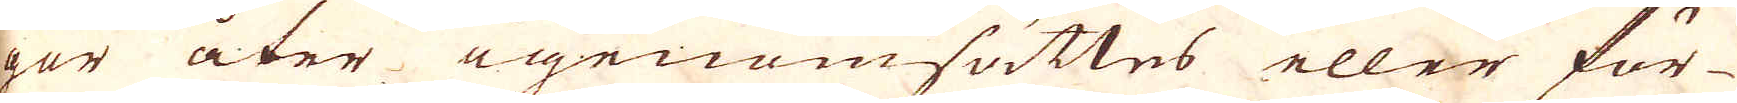ger åter igenom sättes eller för-
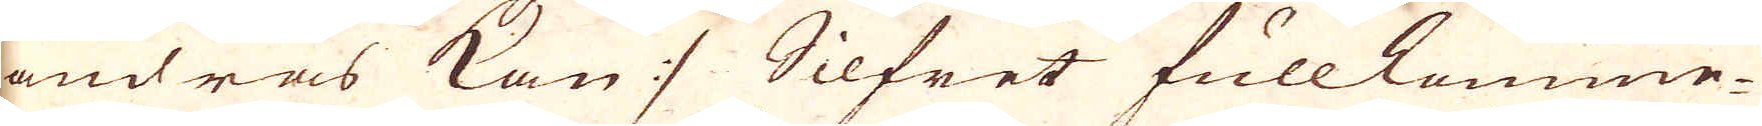ändras kan :/ Silfret fullkomme-
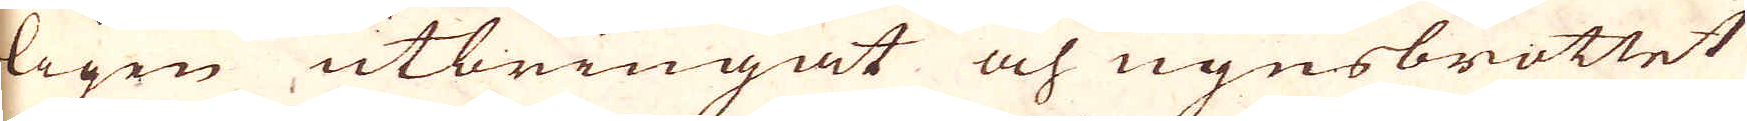ligen utbringat och ugnsbrottet
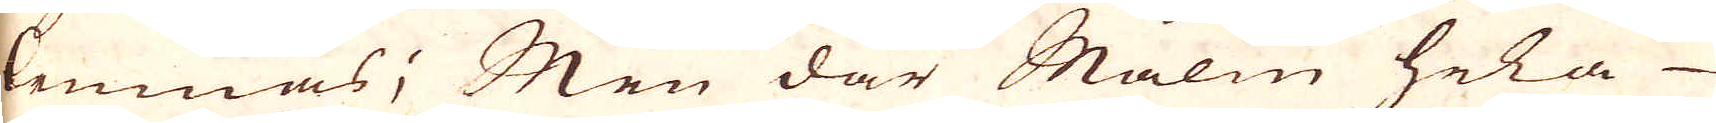lemnas; Men där Malm hela
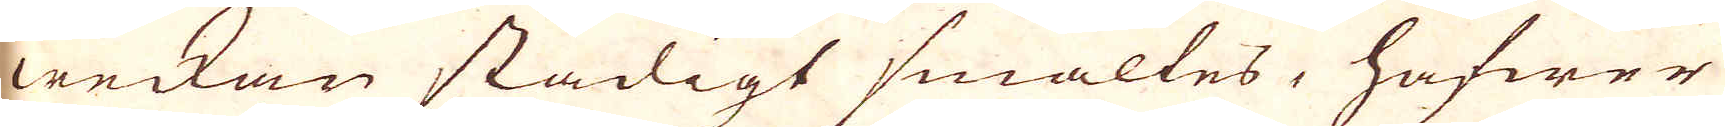weckan stadigt smältes, hafwer
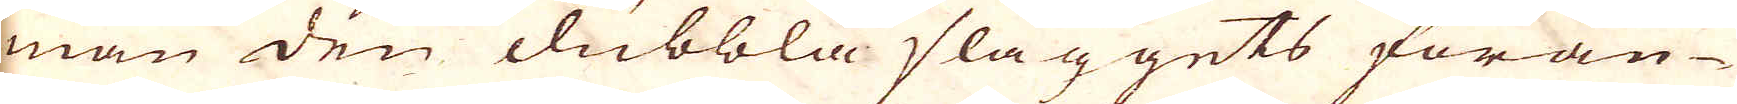man den dubbla slaggets föran-
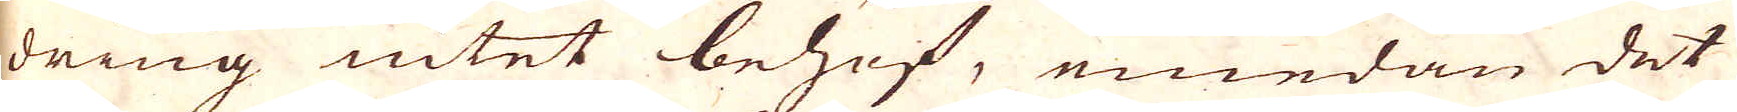dring intet behof, emedan det
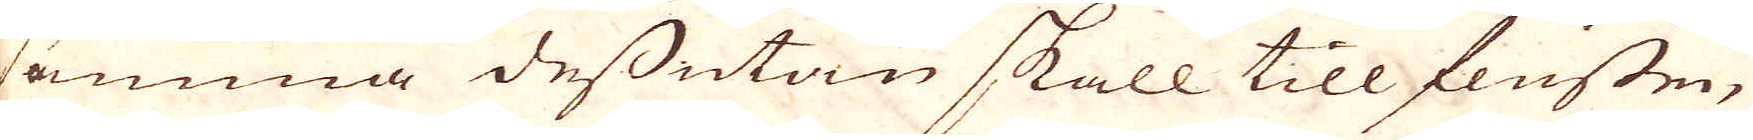samma dessutan skall till flussen,
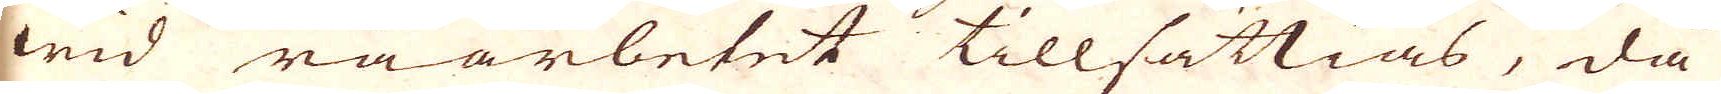wid råarbetet tillsättias, då
